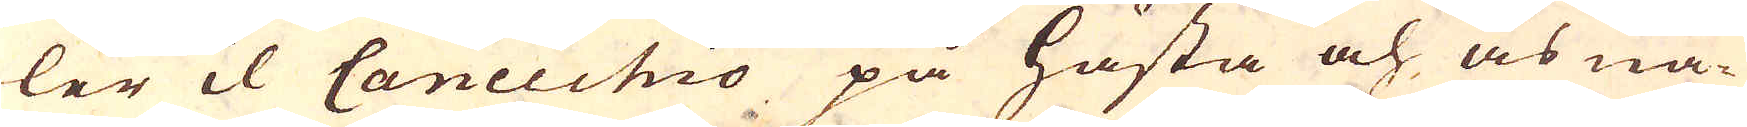ler il Cancuhio på hästa och åsna-
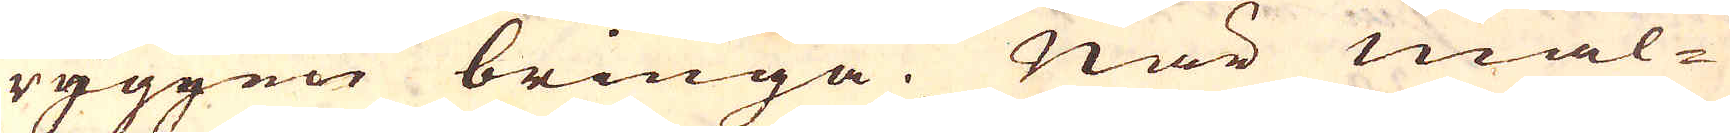ryggen bringa. När mal-
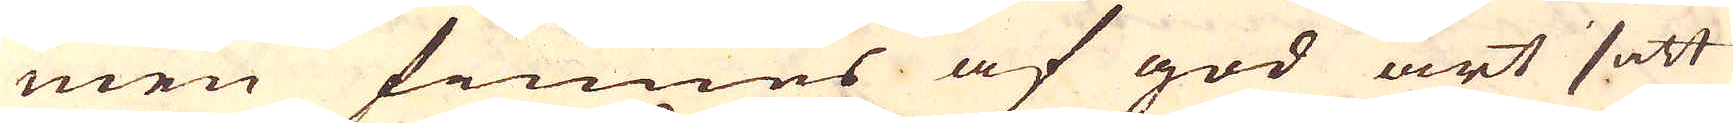men finnes af god art satt
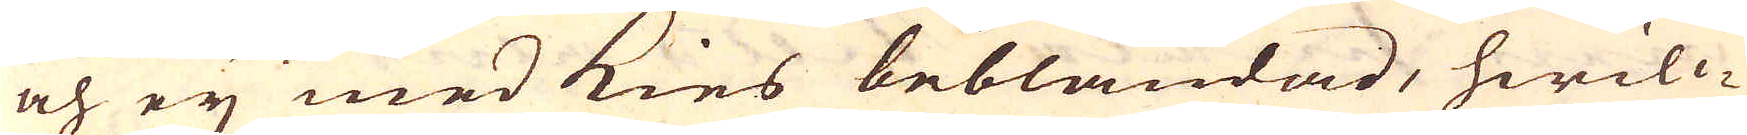och eij med kies beblandad, hwilc-
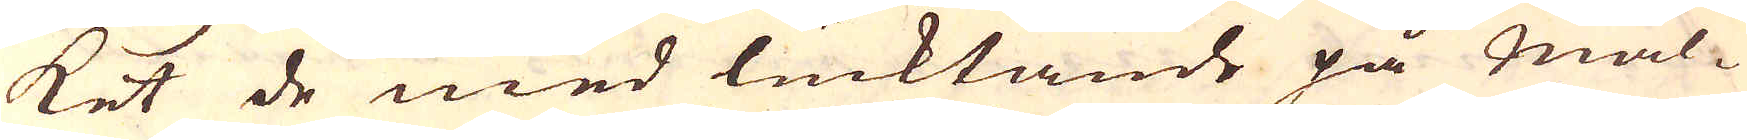ket de med lucktande på Mal-
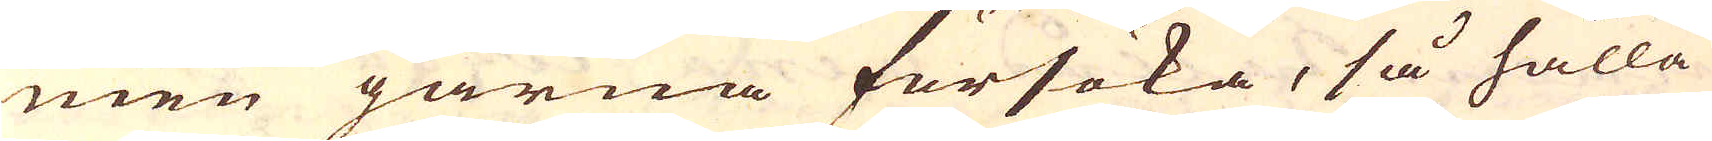men gärna försöka, så hålla
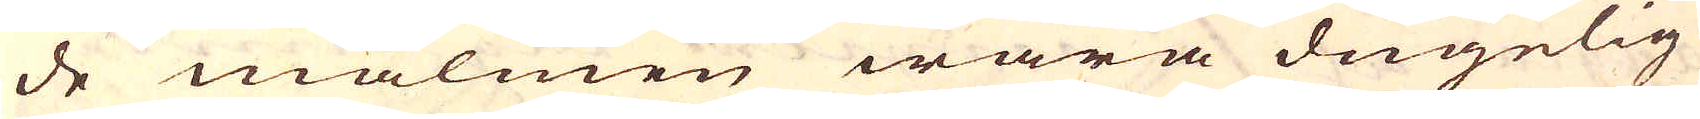de malmen wara dugelig
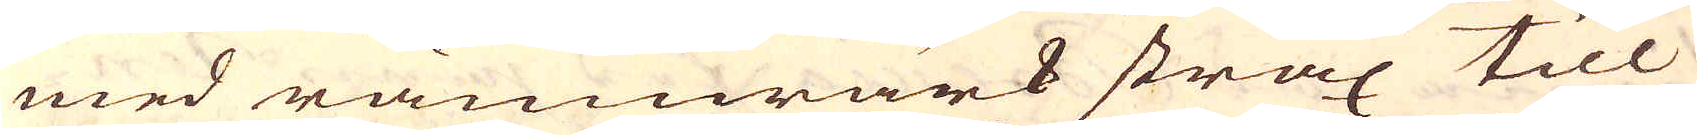med rämwärk strax till
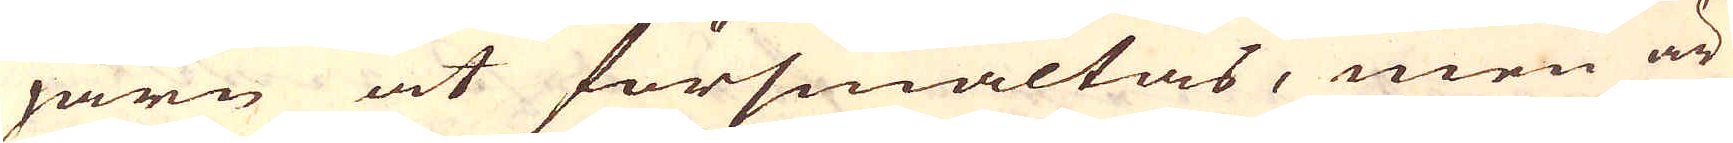järn at försmältas, men är
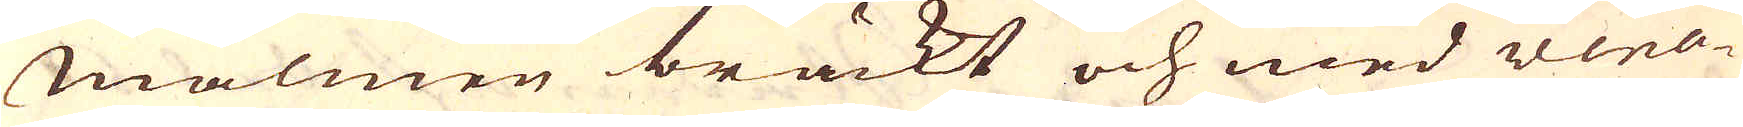Malmen brackt och med vena-
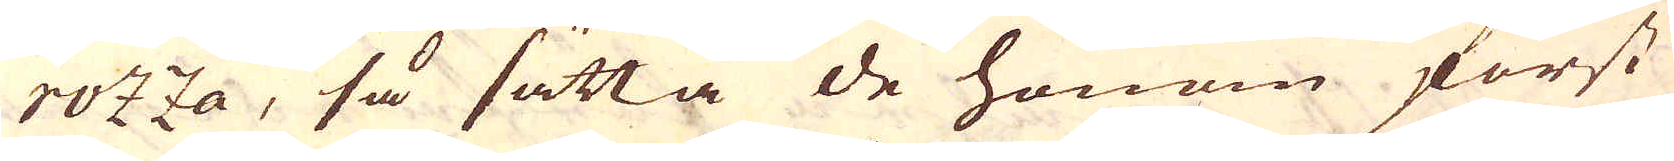rozza, så sätta de honom först
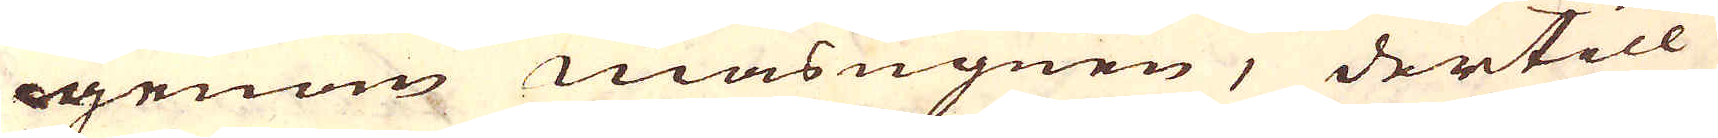igenom masugnen, dertill
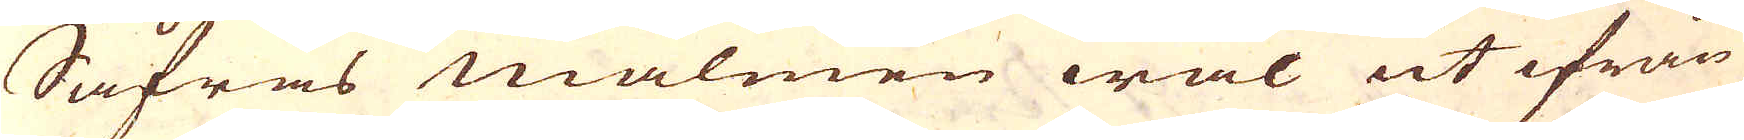Såfras malmen wäl ut ifrån
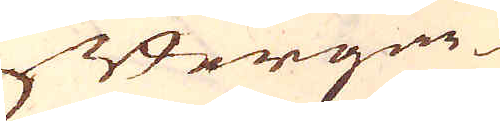Bergar
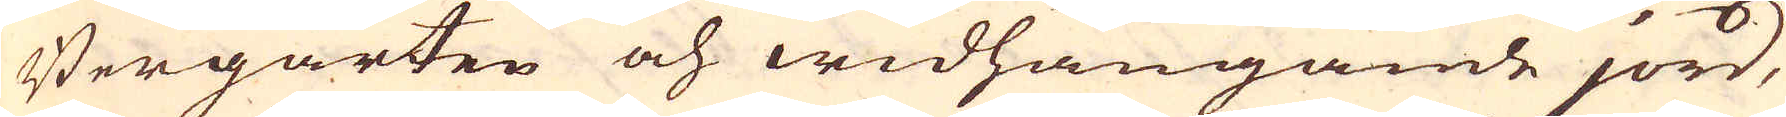Bergarten och widhängande jord,
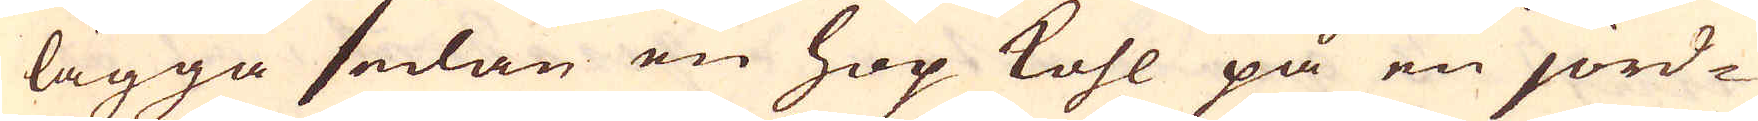lägga sedan en hop kohl på en jord-
